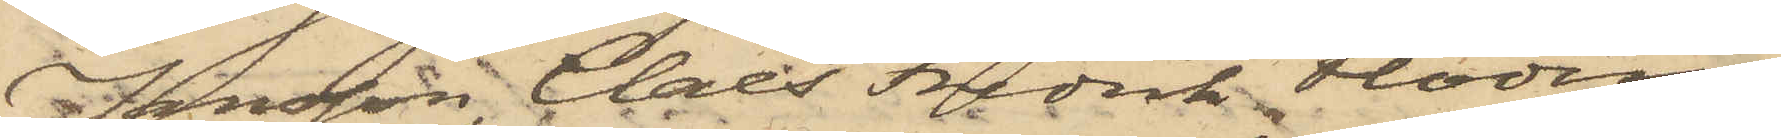Jonsson, Claes Fredrik Flodin,
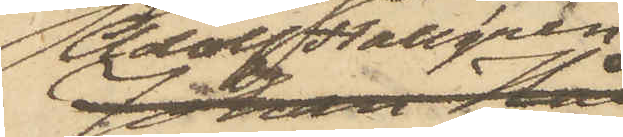Adolf Hallgren
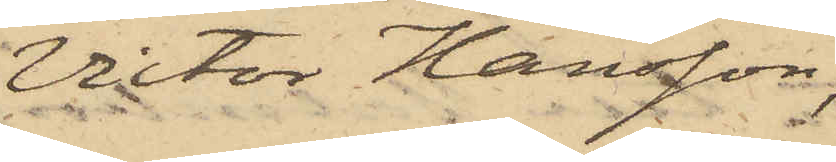Victor Hansson,
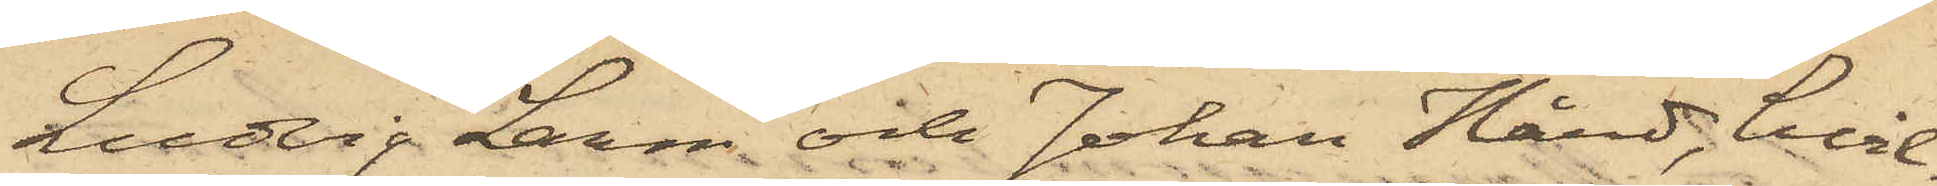Ludvig Larm och Johan Hård, hvil¬
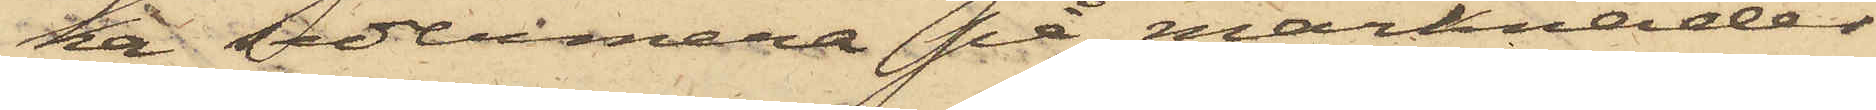ka sedermera på marknader
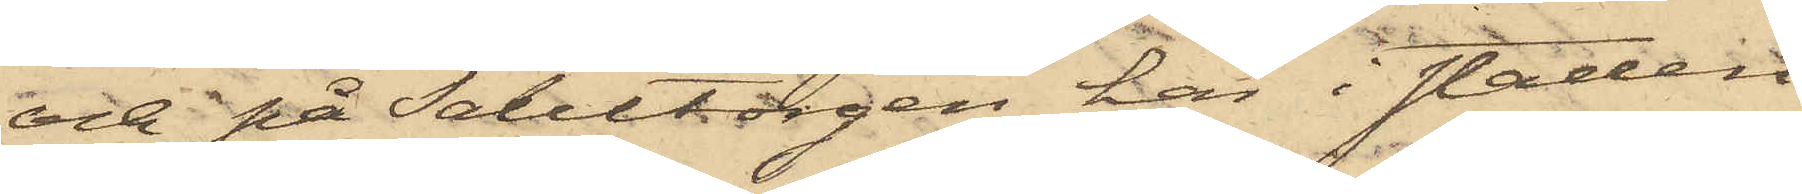och på Salutorgen här i staden
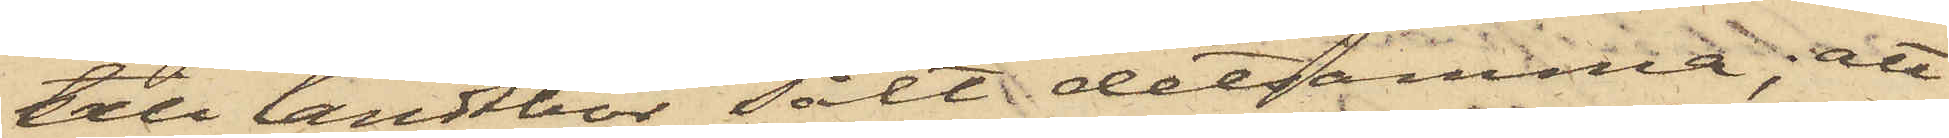till landtbor sålt detsamma; att
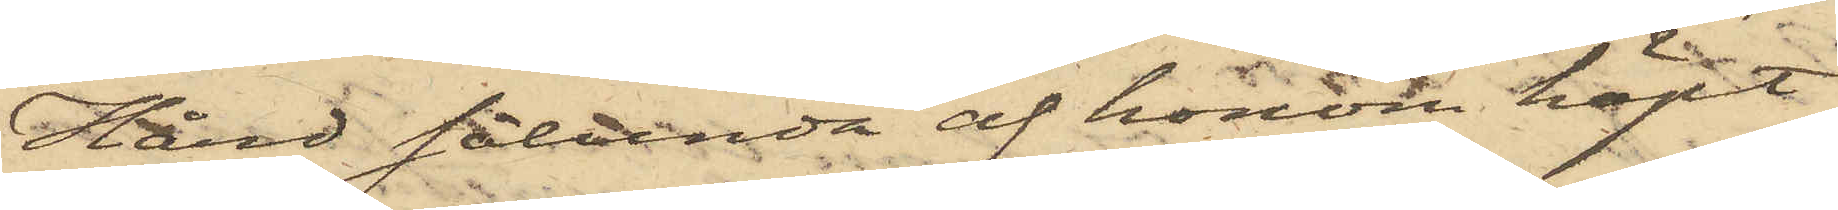Hård sålunda af honom köpt
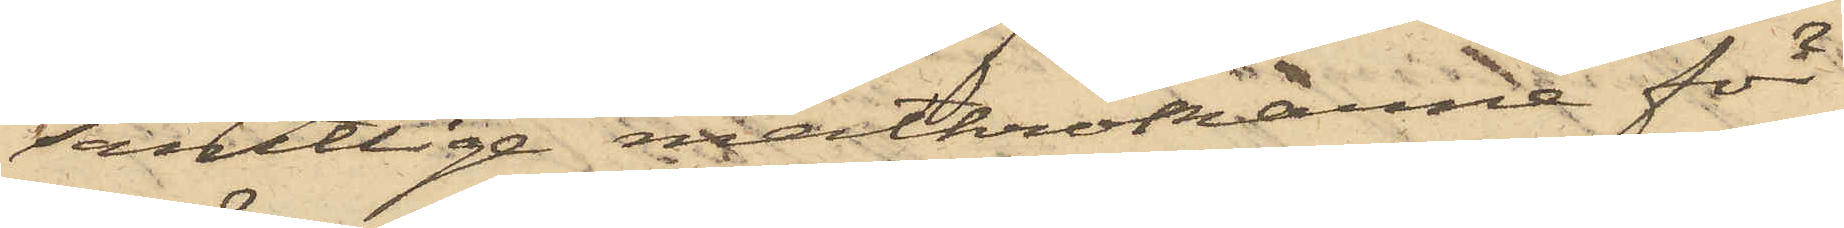samtlige metkrokarne för
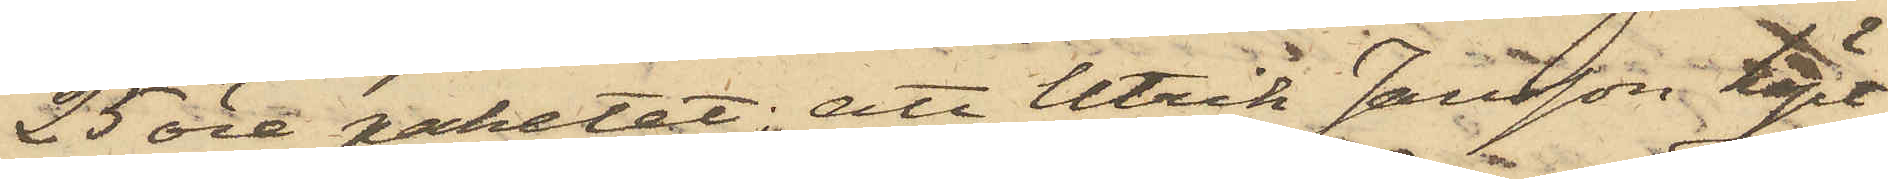25 öre paketet; att Ulrik Jansson köpt
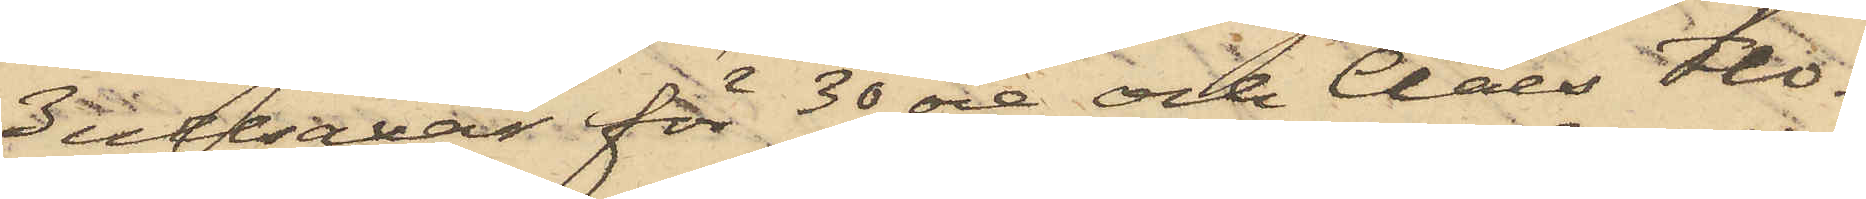3 ullsaxar för 30 öre och Claes Flo¬
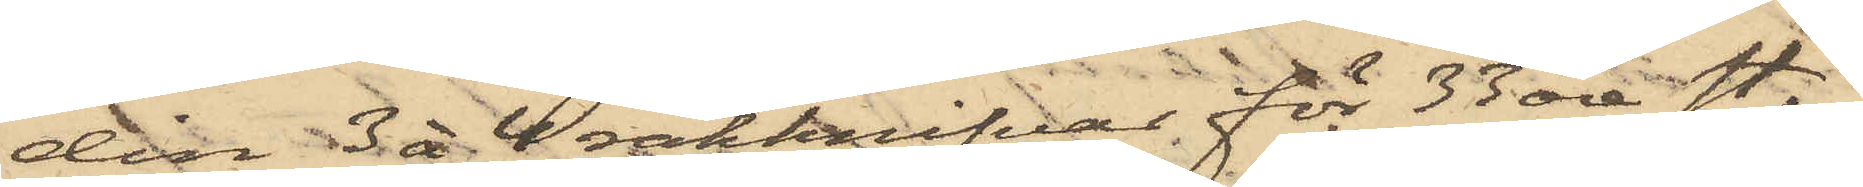din 3 à 4 rakknifvar för 33 öre st,
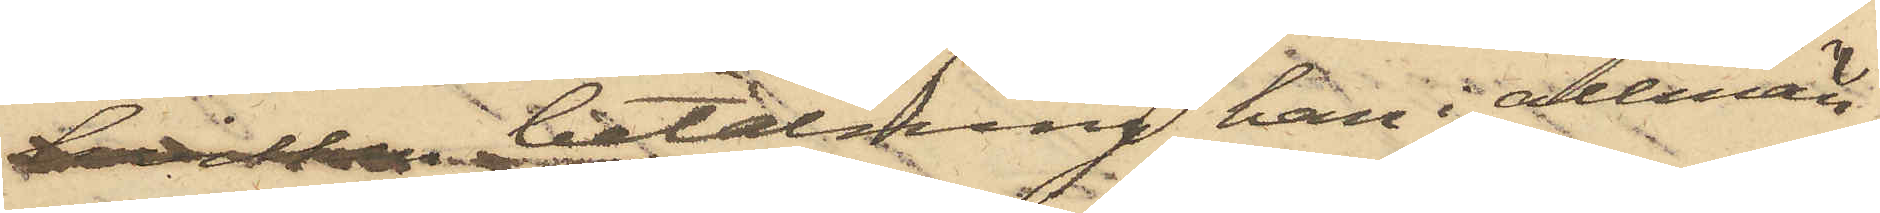hvilken betalning han i allmän¬
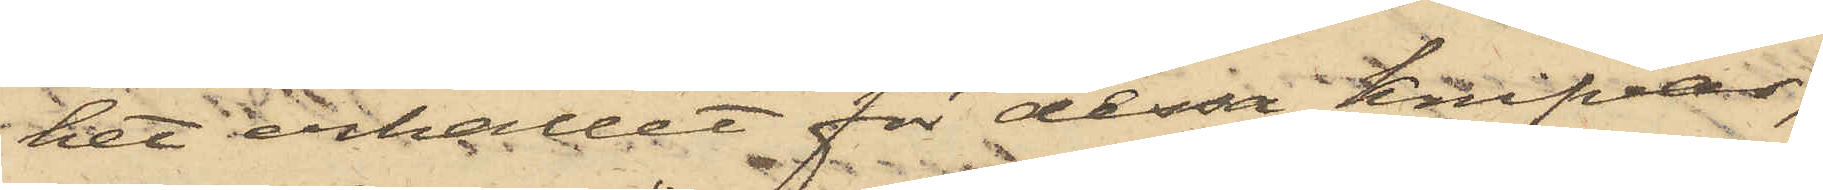het erhållit för dessa Knifvar,
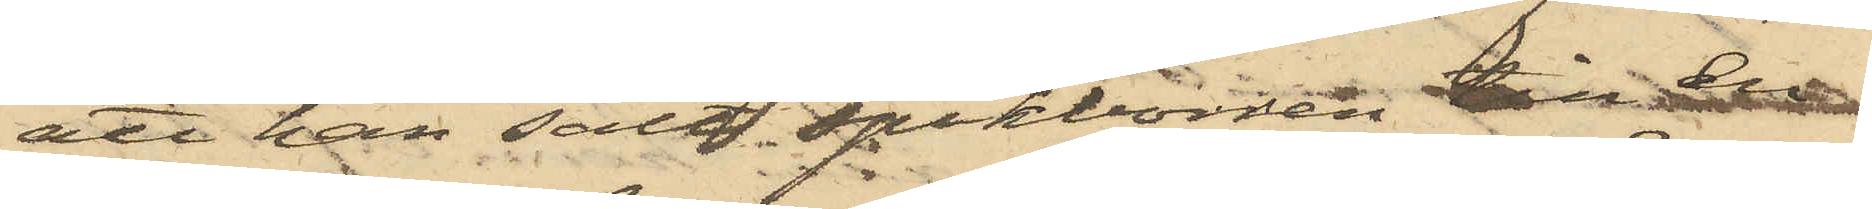att han sålt spikborren till en
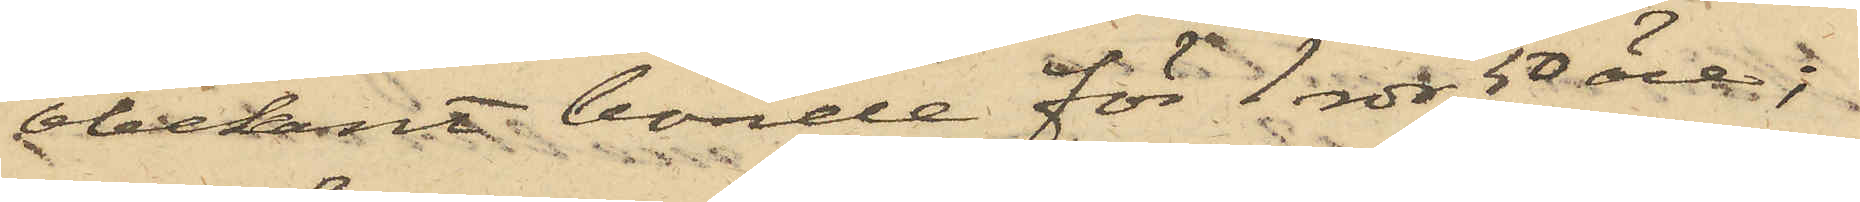obekant bonde för 1 rdr 50 öre;
